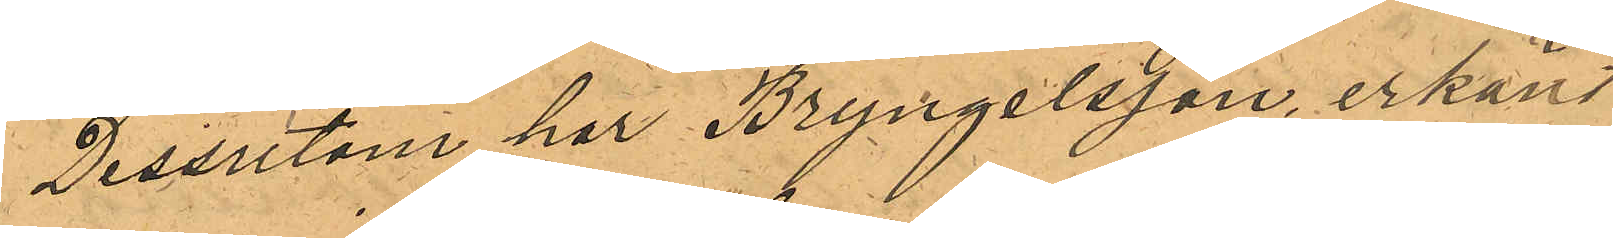Dessutom har Bryngelsson, erkänt
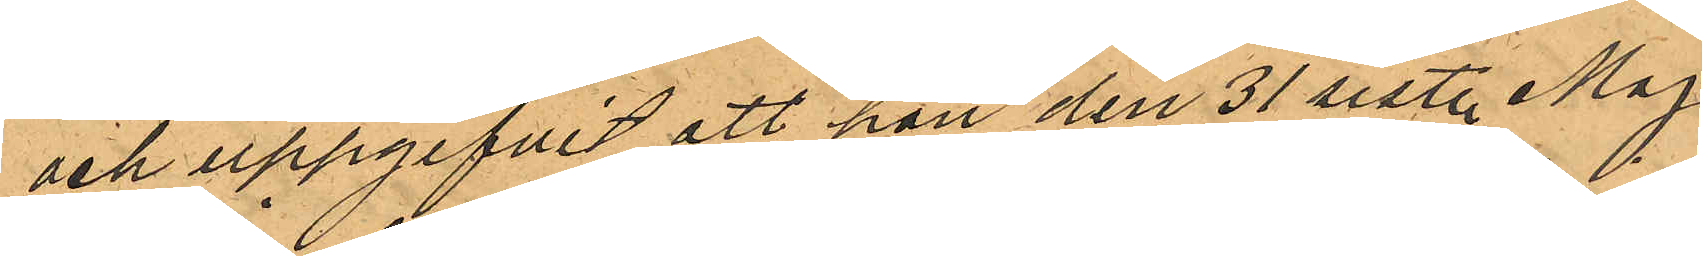och uppgifvit att hon den 31 sist. Maj
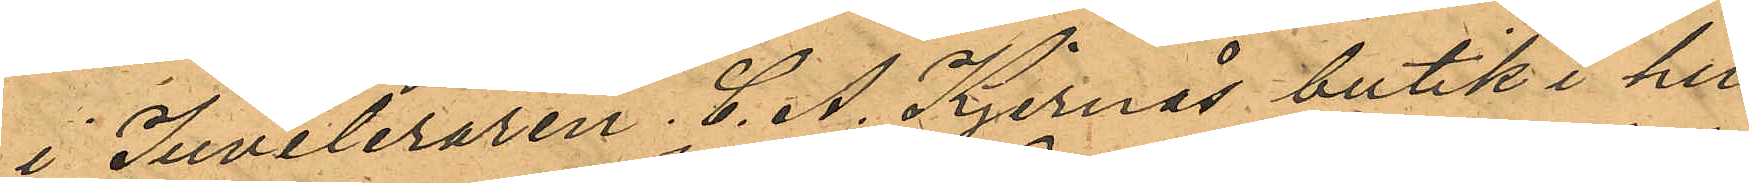i Juveleraren C. A. Kjernås butik i hu¬
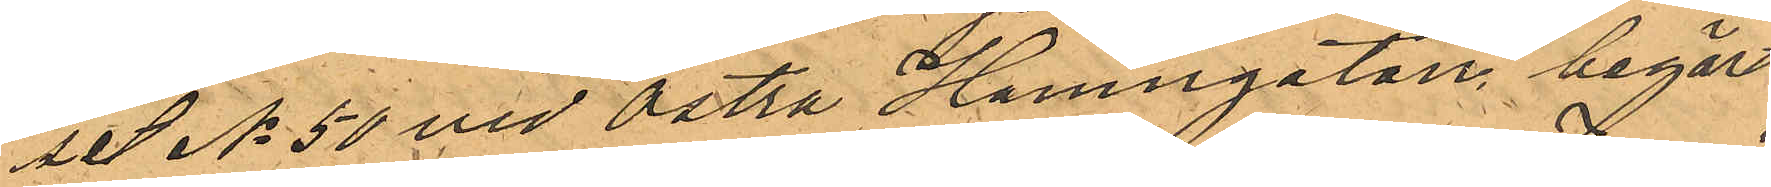set No 50 vid Östra Hamngatan, begärt
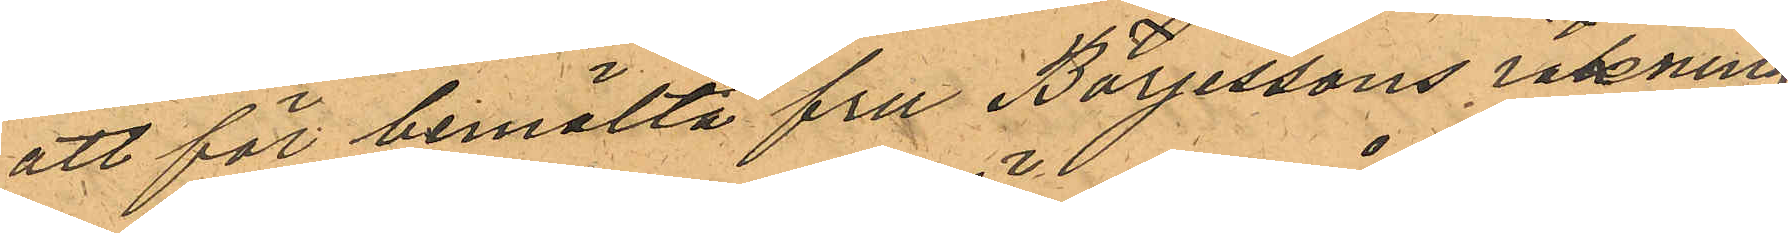att för bemälta fru Börjessons räkning
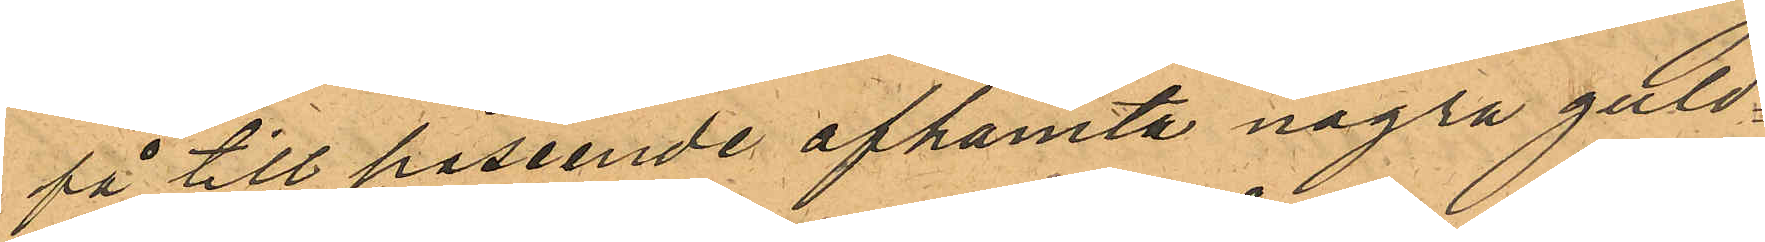få till påseende afhemta några guld¬
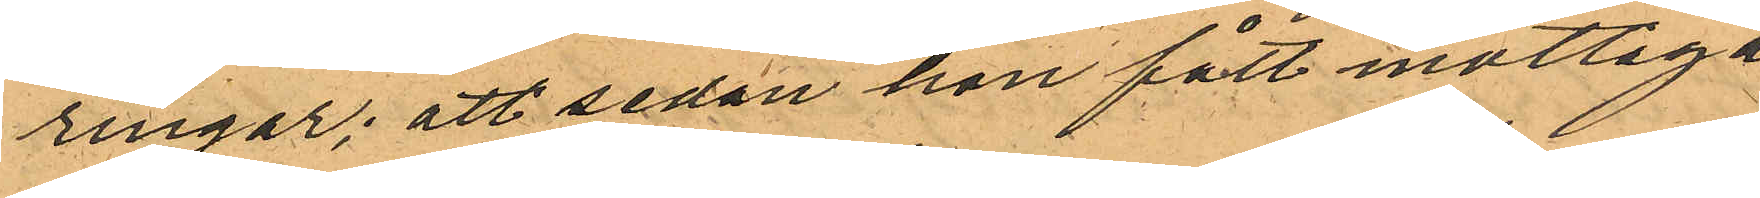ringar; att sedan hon fått mottaga
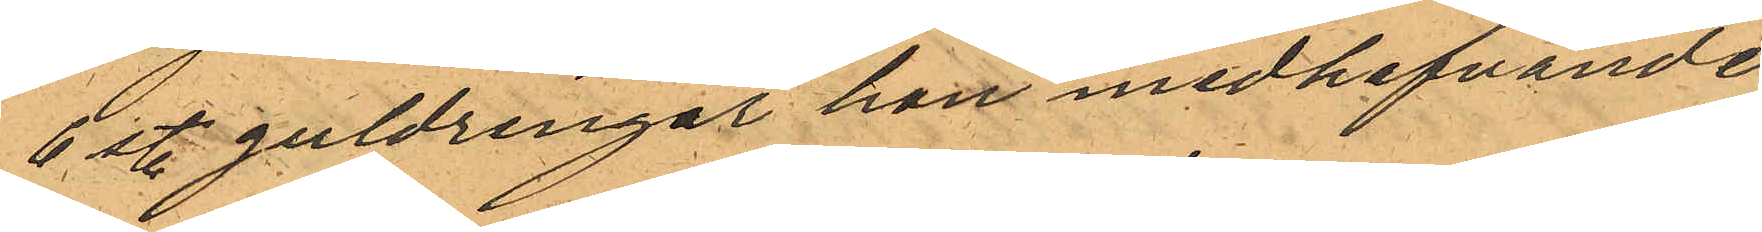6 st. guldringar hon medhafvande
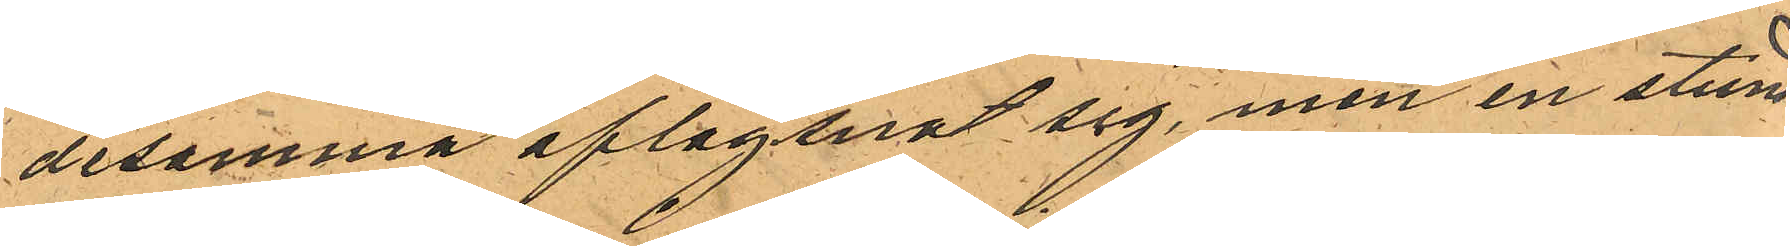desamma aflägsnat sig, men en stun
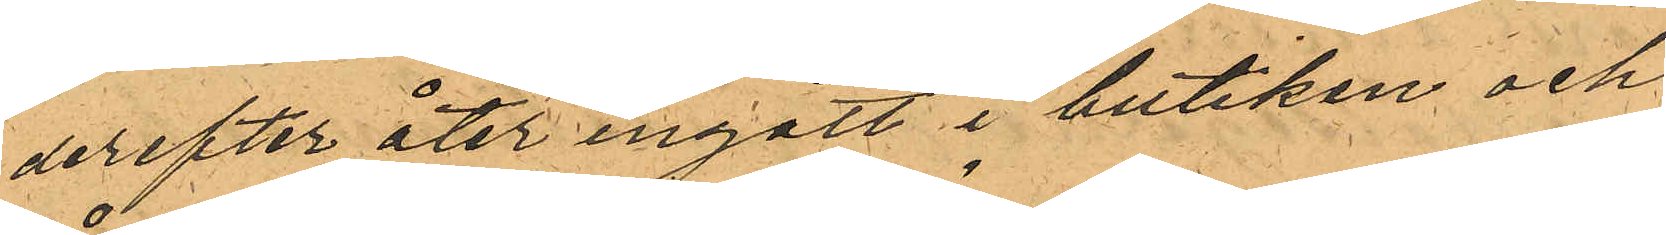derefter åter ingått i butiken och
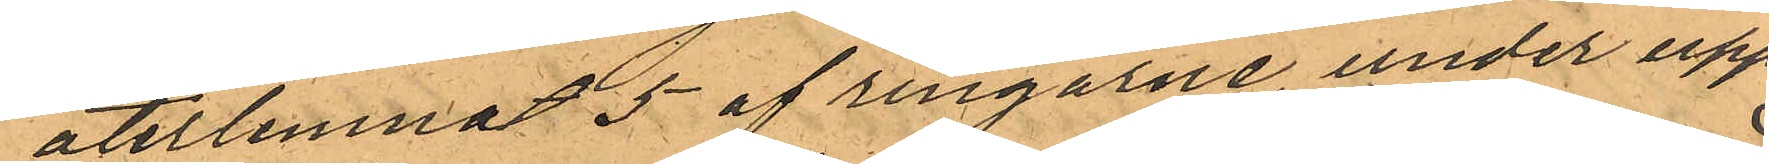återlemnat 5 af ringarne, under upp¬
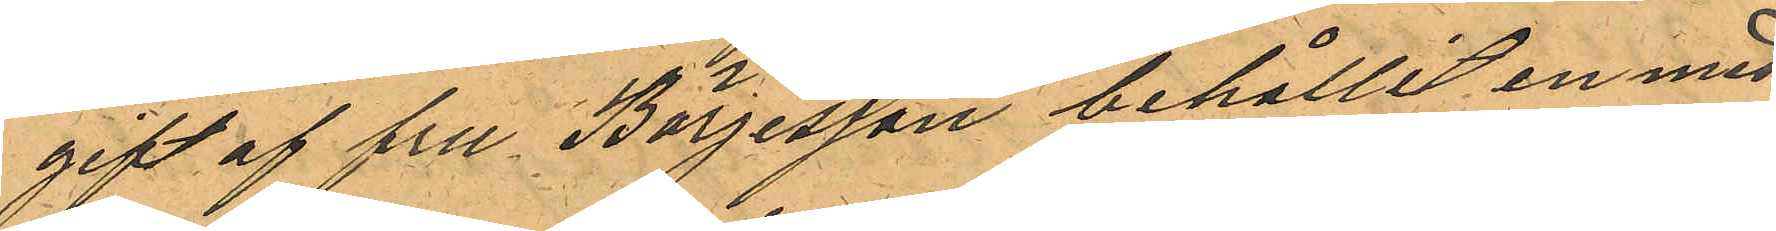gift af fru Börjesson behållit en med
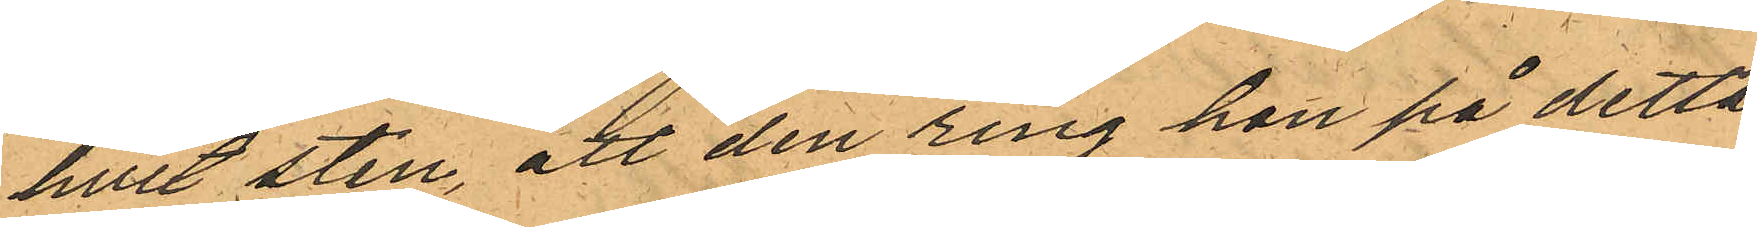hvit sten, att den ring hon på detta
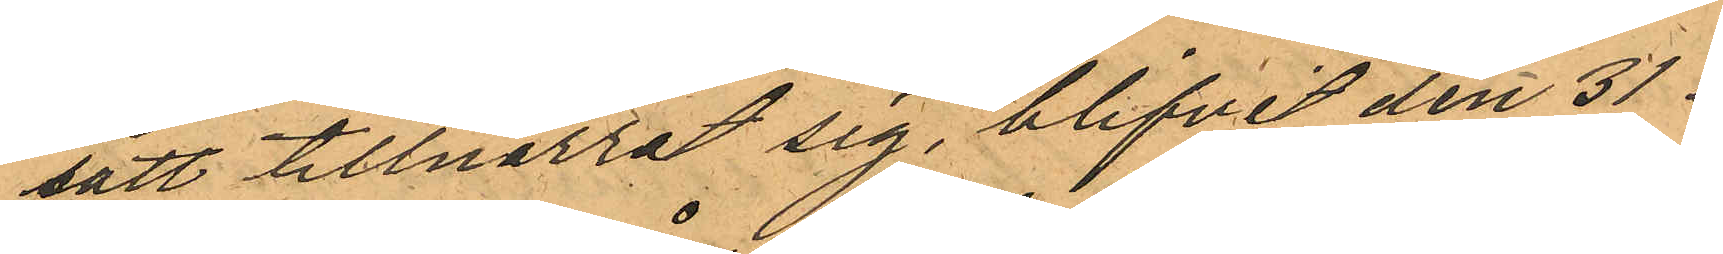satt tillnarrat sig, blifvit den 31 i
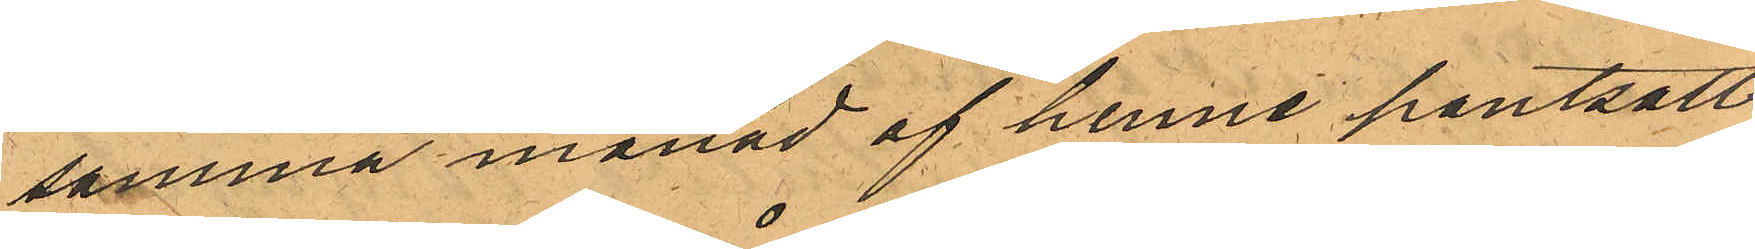samma månad af henne pantsatt
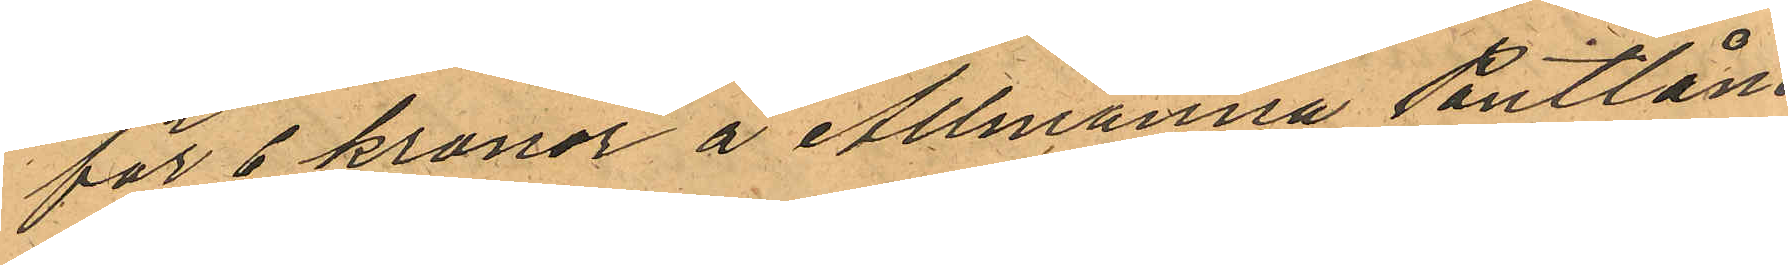för 6 kronor å Allmänna Pantlåne¬
